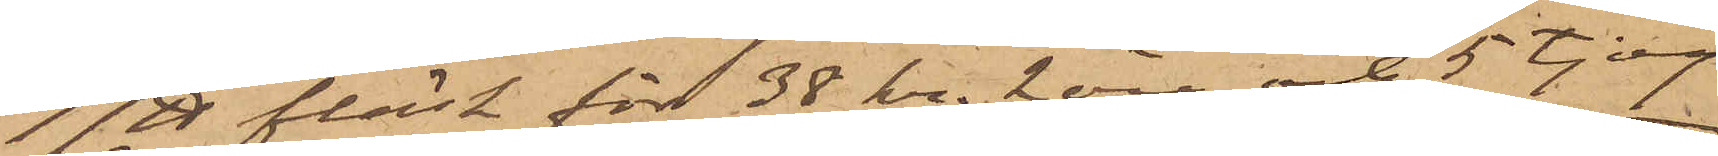17 ℔ fläsk för 38 kr. 2 öre och 5 tjog
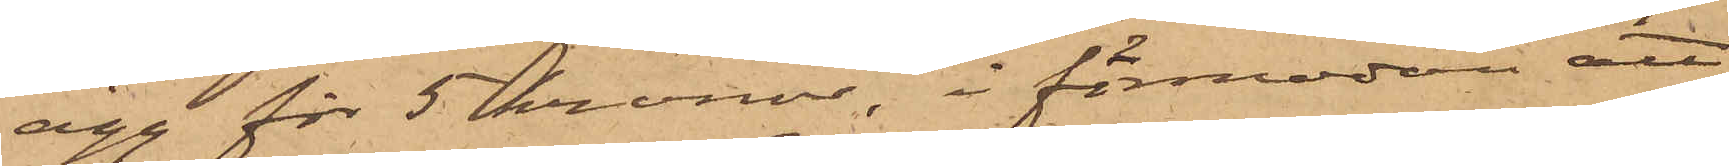ägg för 5 kronor i förmodan att
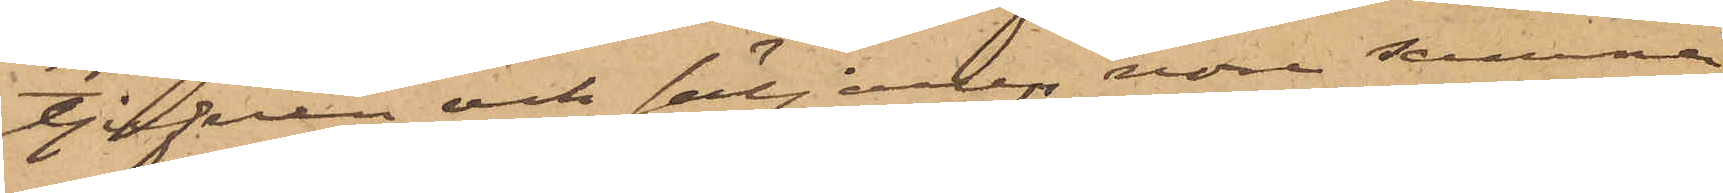tjufven och säljaren vore samma
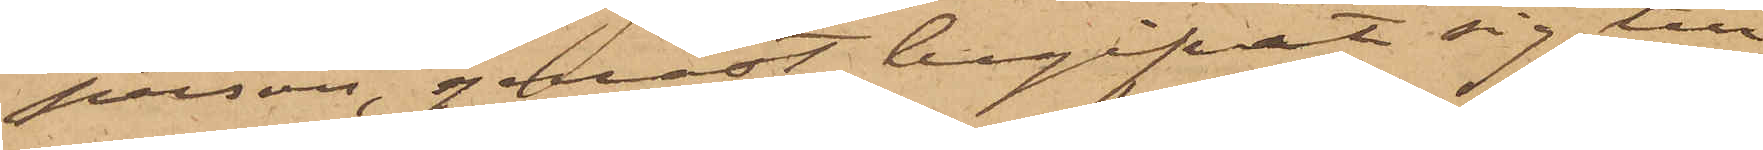person, genast begifvit sig till
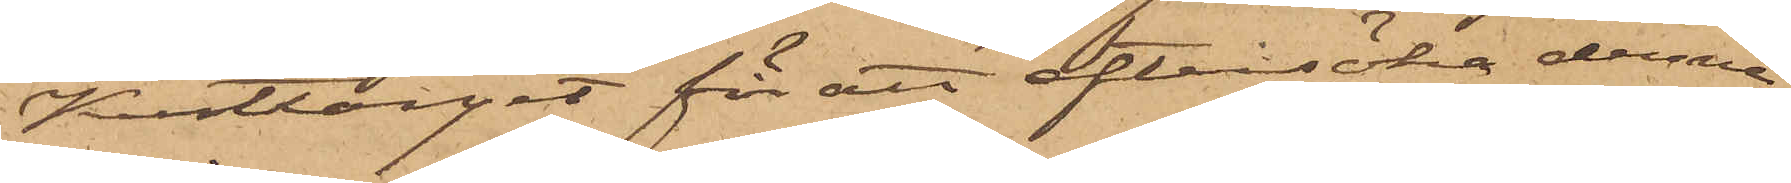Kusttorget för att eftersöka denne,
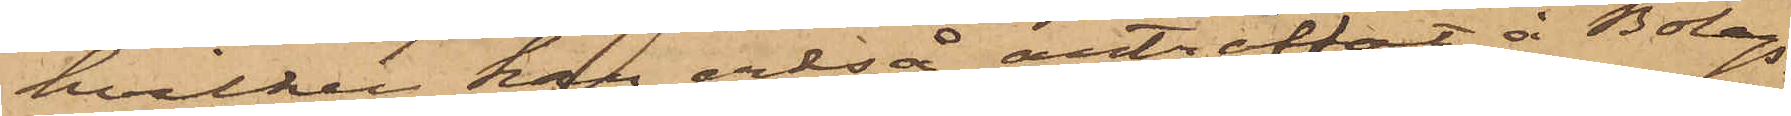hvilken han också anträffat å Bolags¬
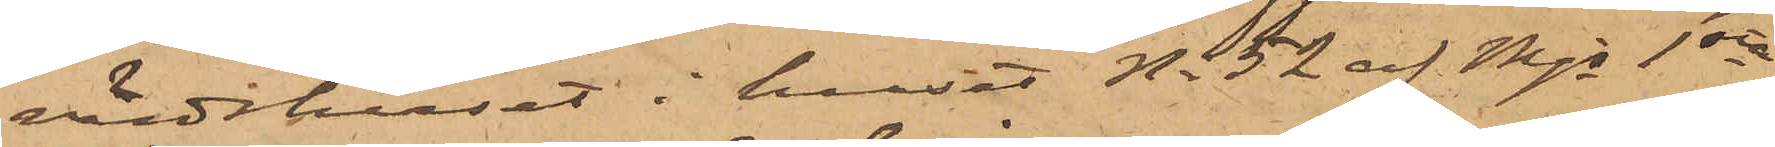värdshuset i huset No 52 af Mjs 1sta
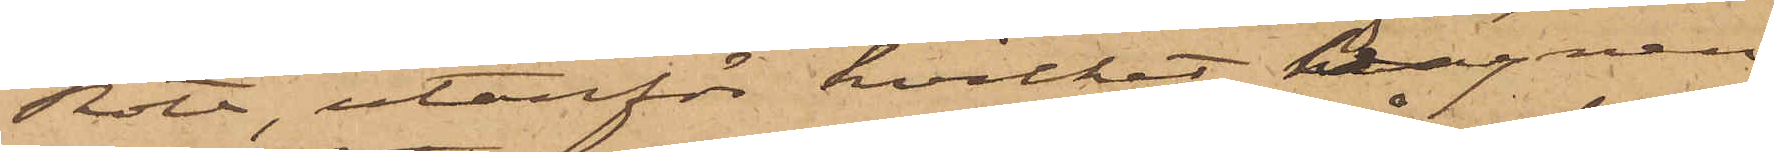Rote, utanför hvilket Wagnen
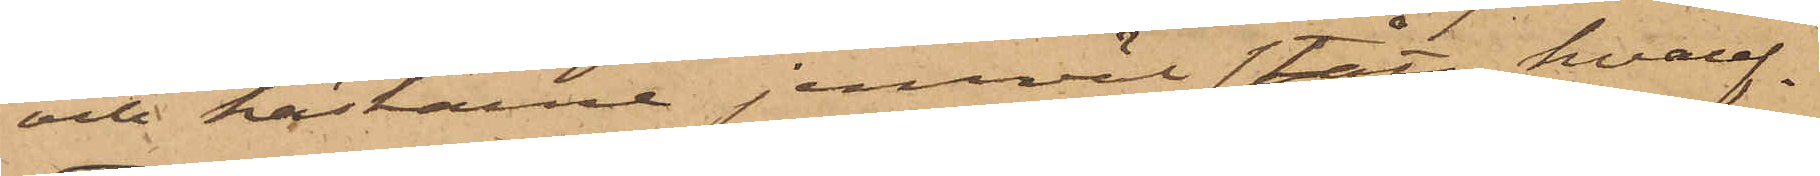och hästarne jemväl stått, hvaref¬
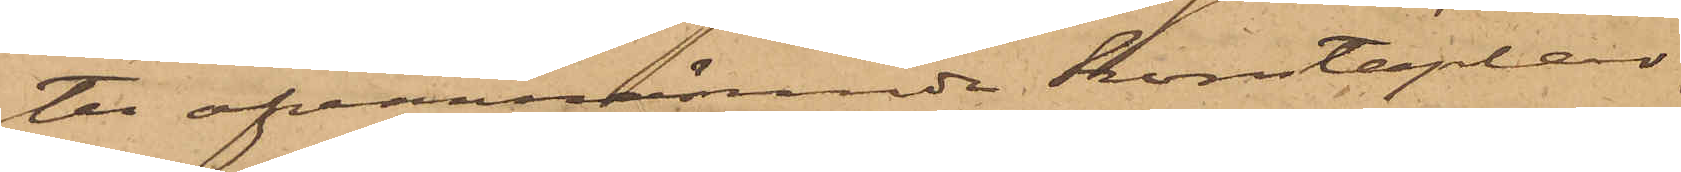ter ofvannämnde konstaplar,
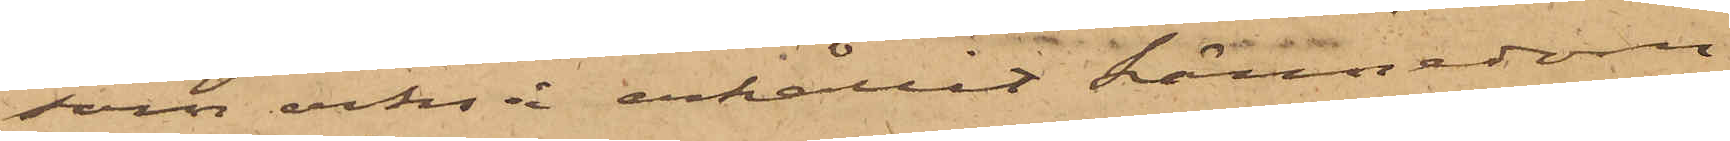som också erhållit kännedom
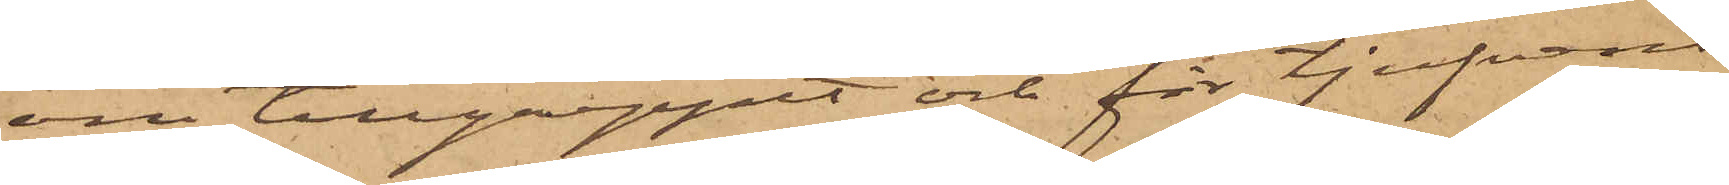om tillgreppet och för tjufvens
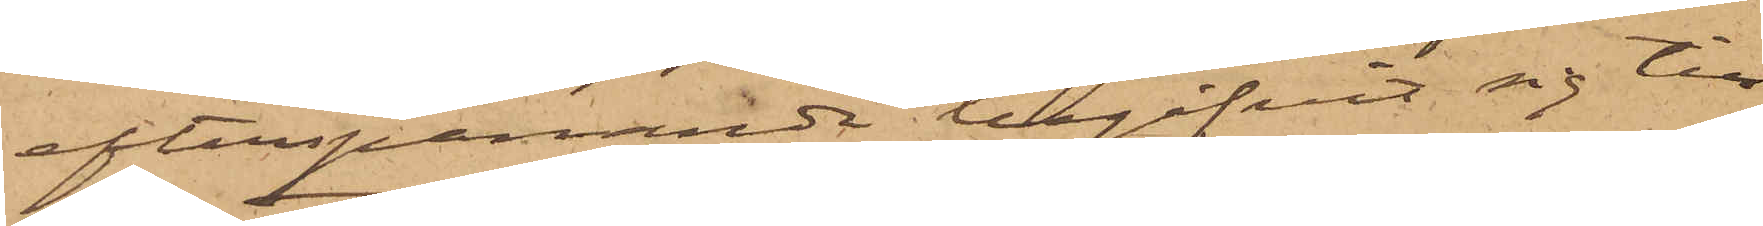efterspanande begifvit sig till
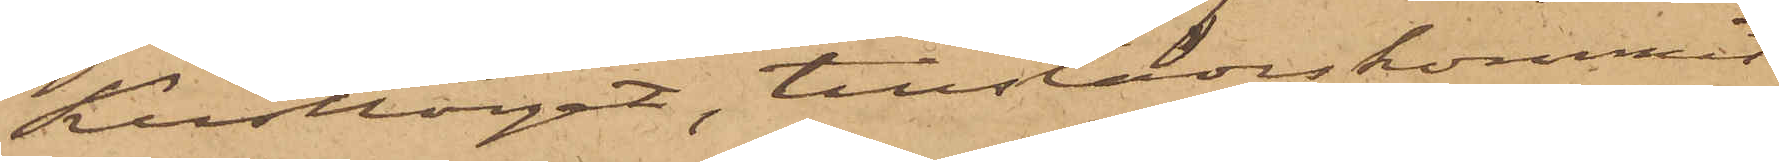Kusttorget, tillstädeskommit
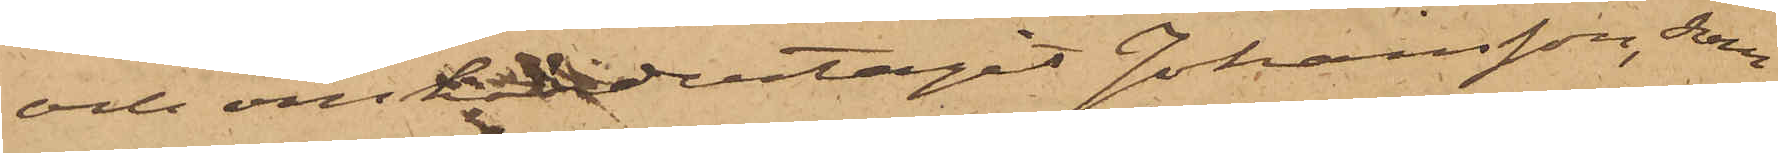och omhändertagit Johansson, som
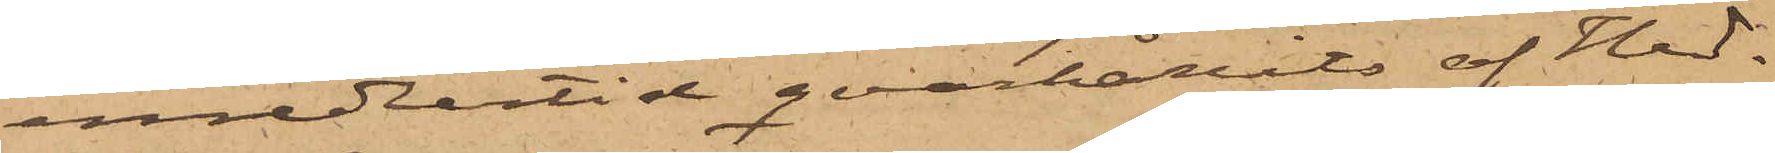emedlertid qvarhållits af Hed¬
